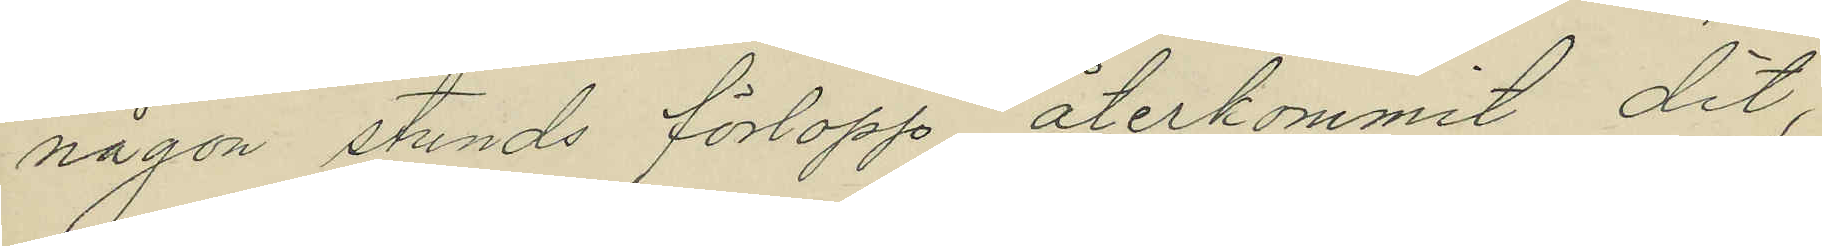någon stunds förlopp återkommit dit,
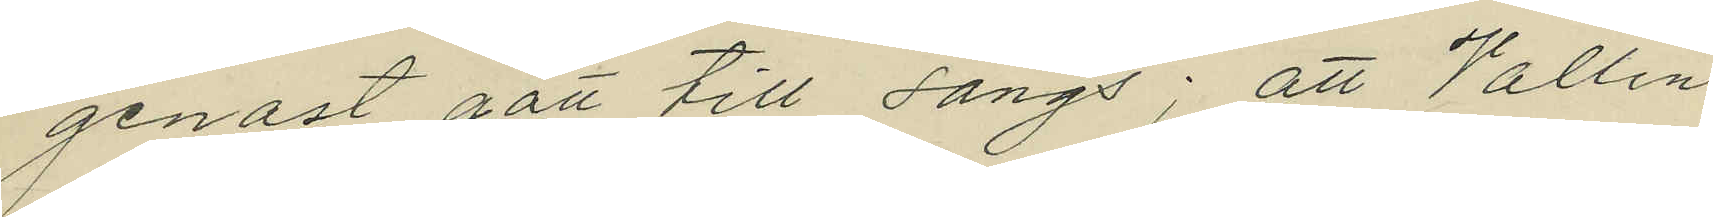genast gått till sängs; att Vallin
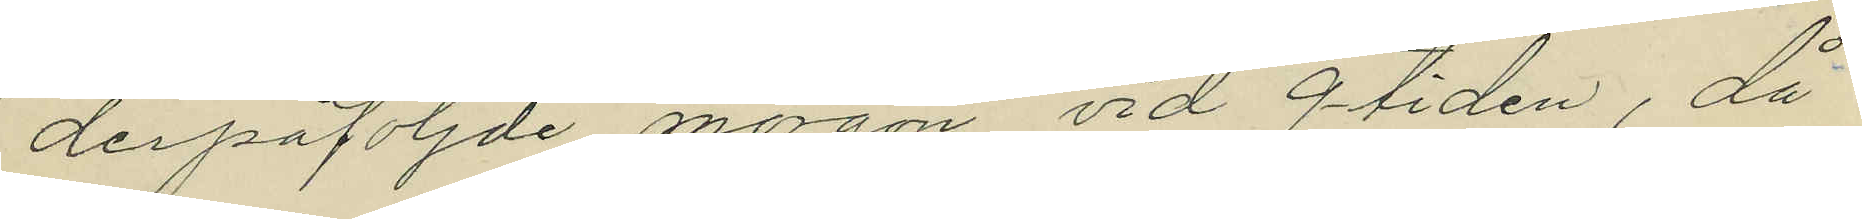derpåföljde morgon vid 9-tiden, då
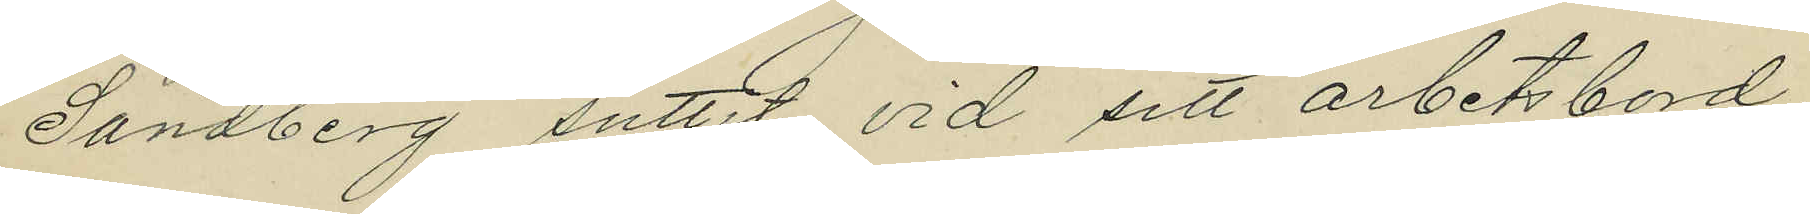Sandberg suttit vid sitt arbetsbord,
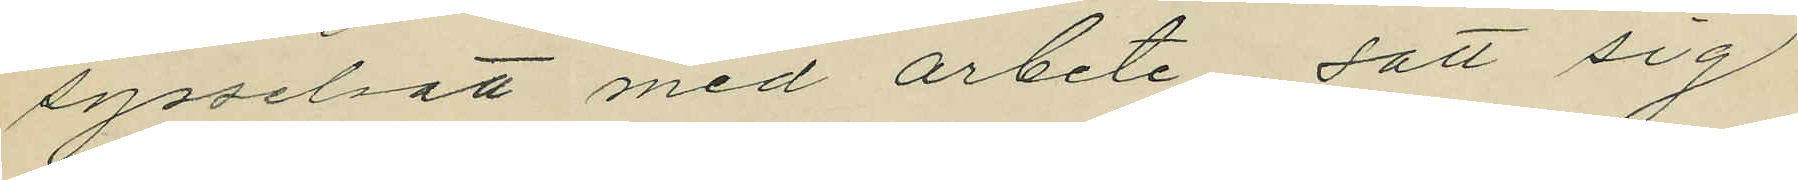sysselsatt med arbete satt sig
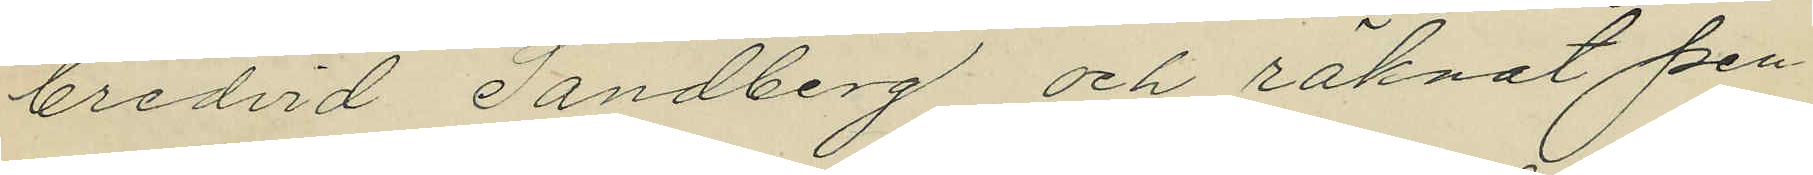bredvid Sandberg och räknat pen
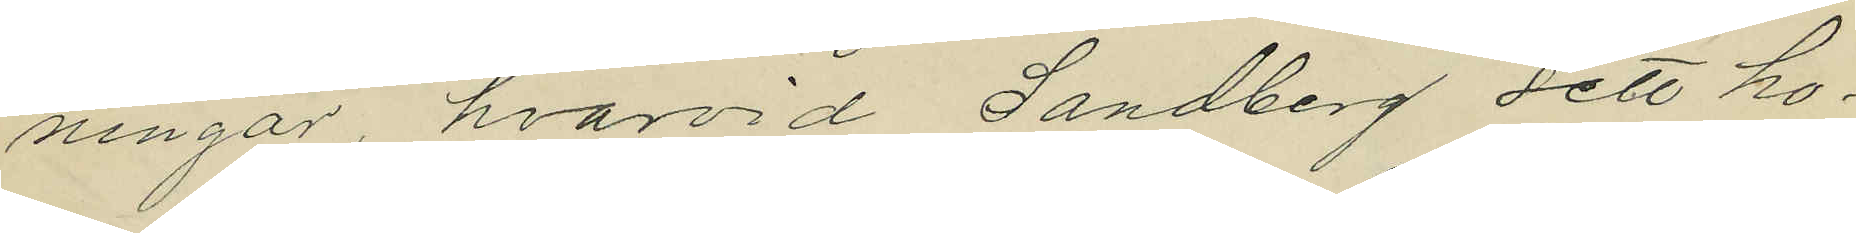ningar, hvarvid Sandberg sett ho¬
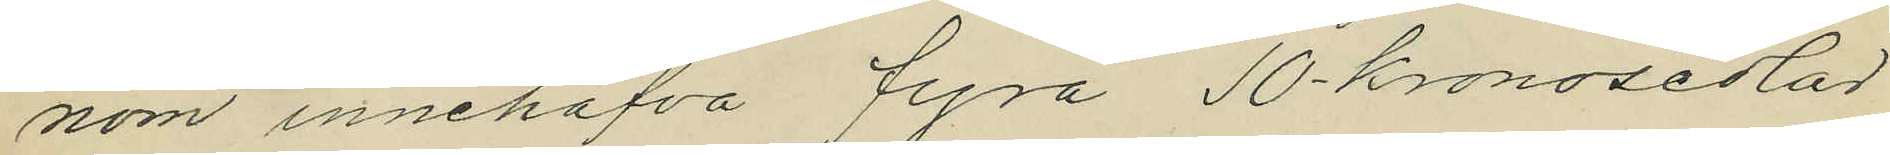nom innehafva fyra 10 kronosedlar
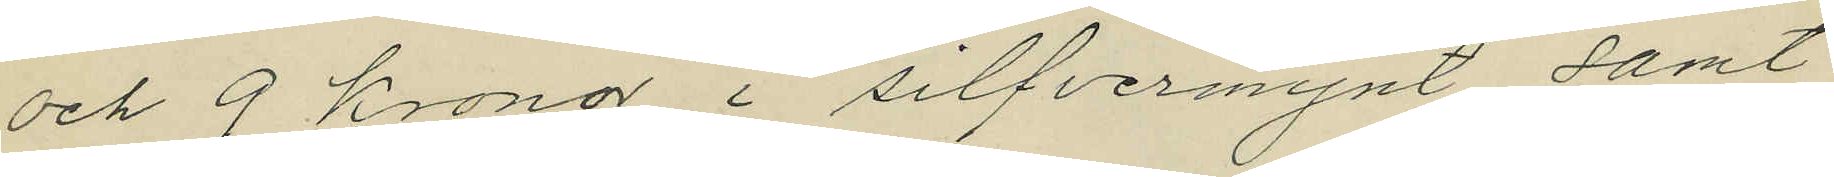och 9 kronor i silfvermynt samt
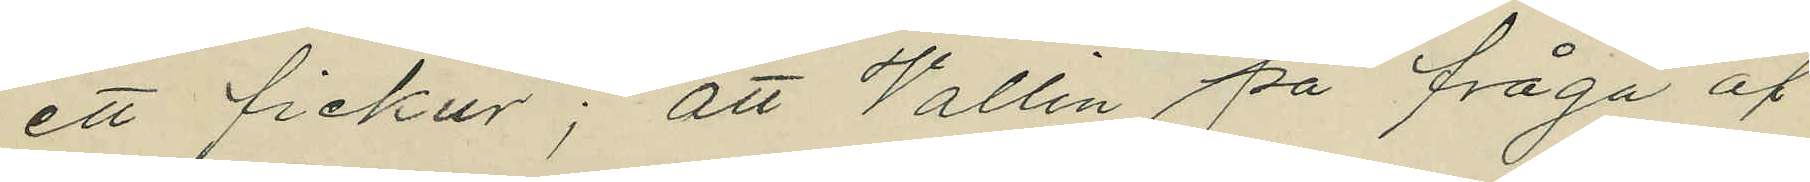ett fickur; att Vallin på fråga af
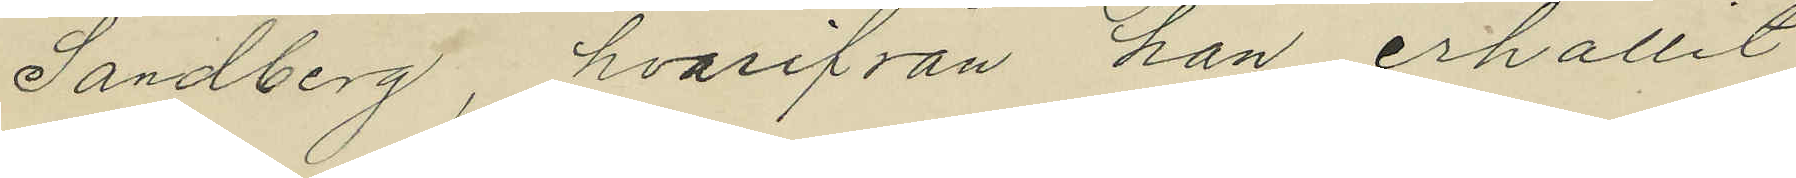Sandberg, hvarifrån han erhållit
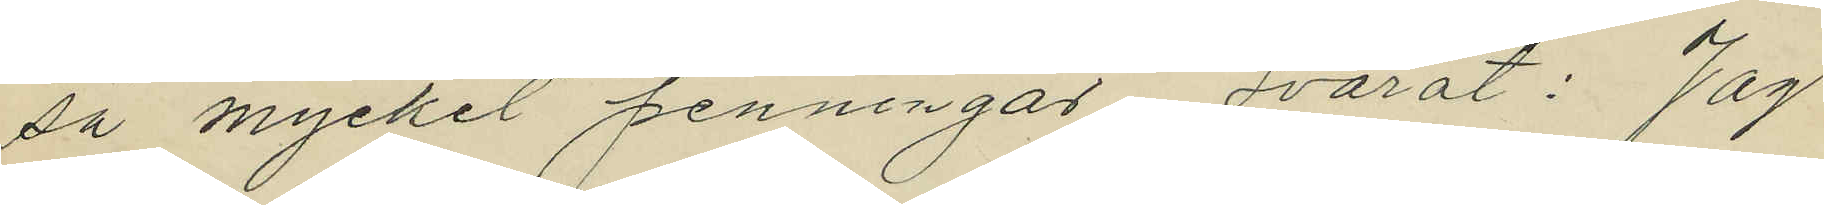sa mycket penningar, svarat: "Jag
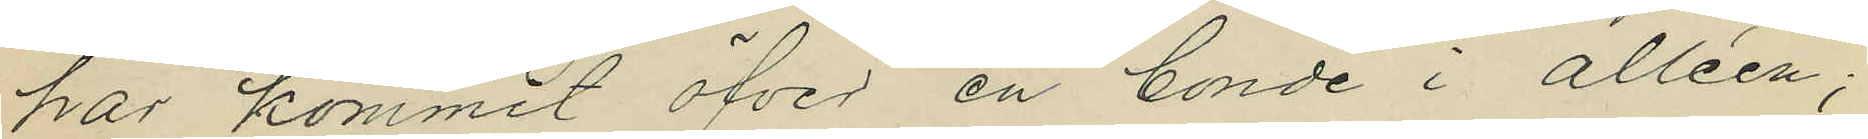har kommit öfver en bonde i alléen";
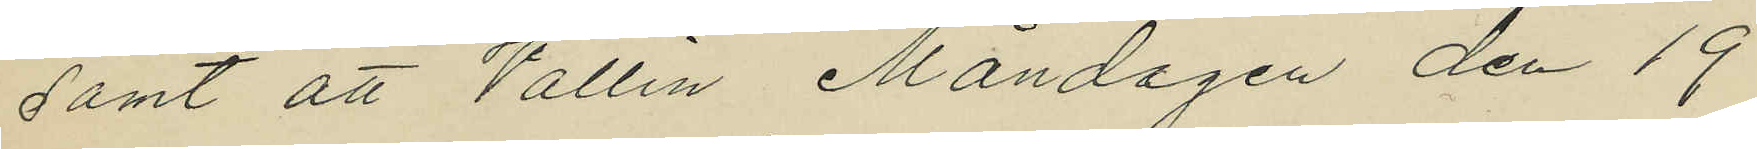samt att Vallin Måndagen den 19
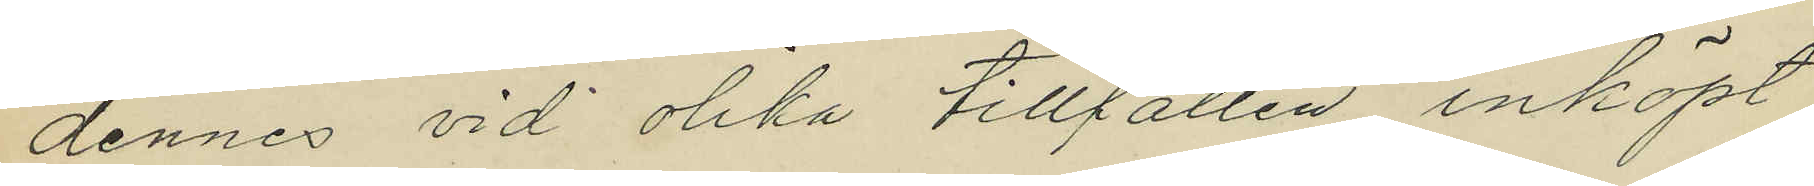dennes vid olika tillfällen inköpt
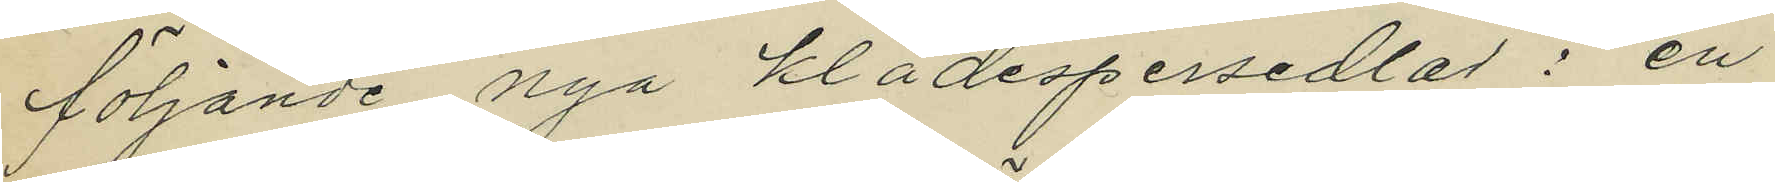följande nya klädespersedlar: en
